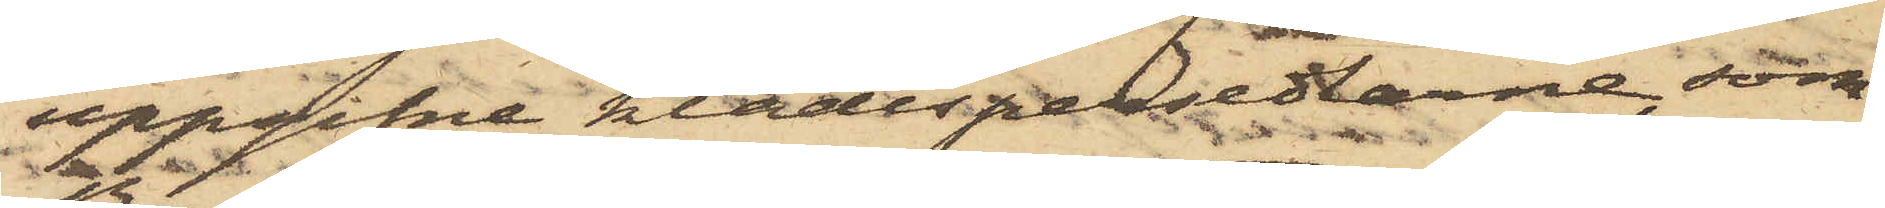uppgifne klädespersedlarne, som
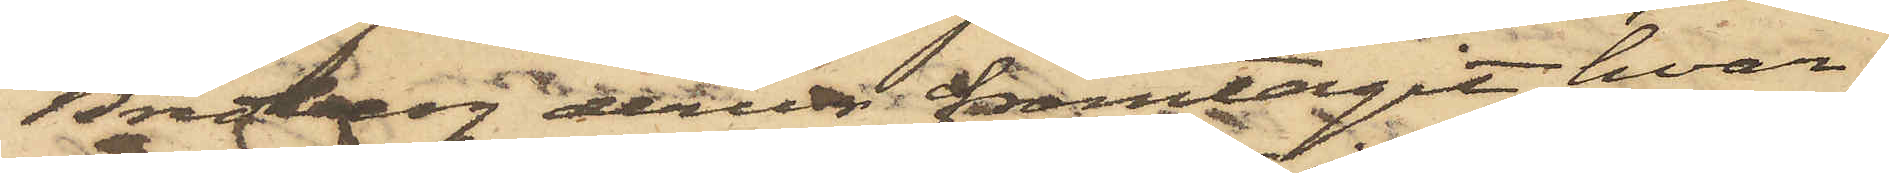Bredberg derur framtagit, hvar¬
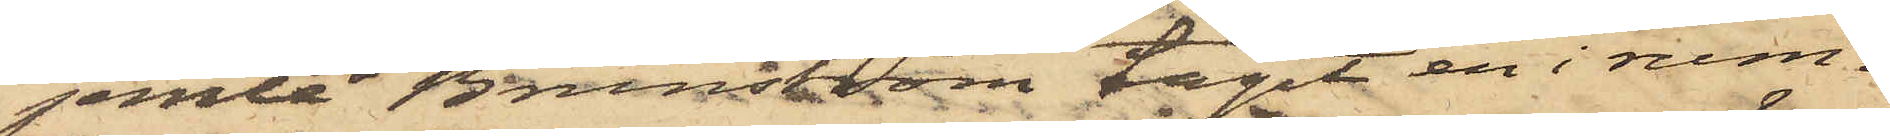jemte Brunström tagit en i rum¬
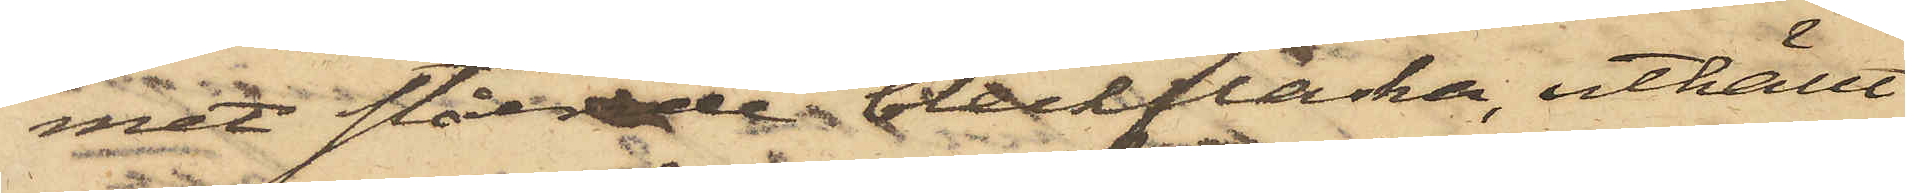met stående bleckflacka, uthällt
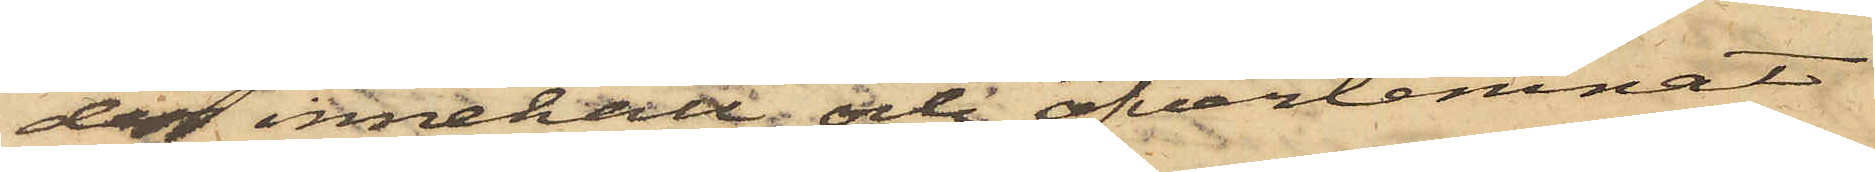dess innehåll och öfverlemnat
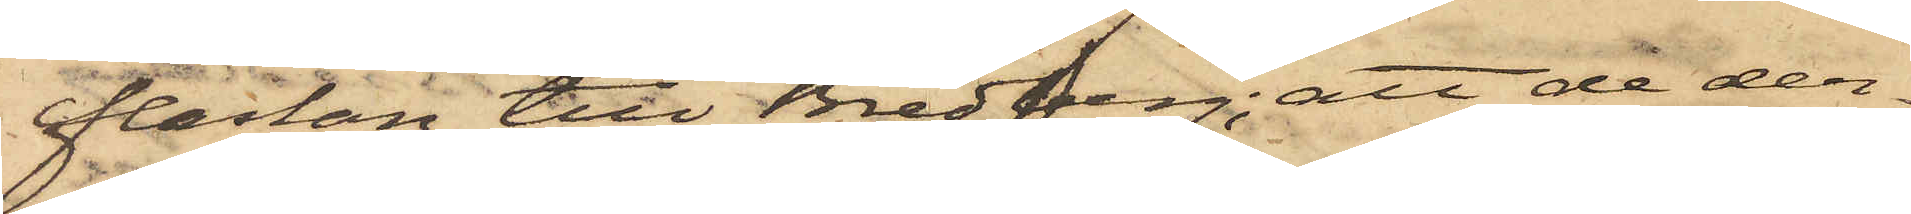flaskan till Bredberg; att de den¬
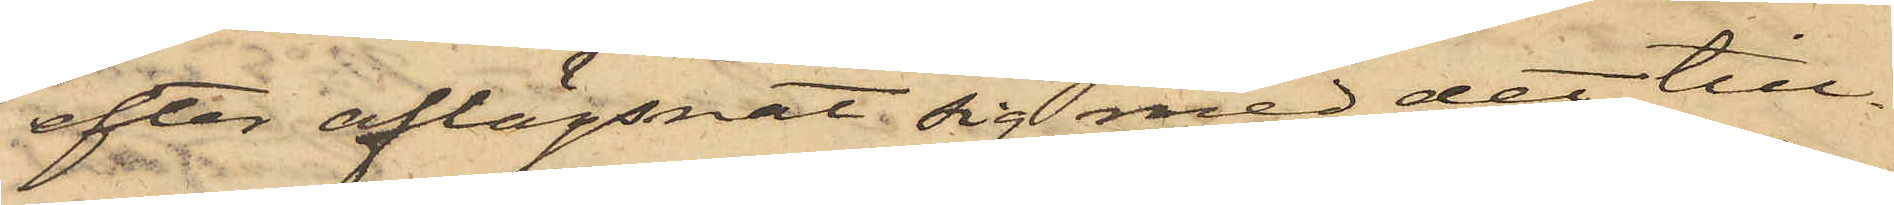efter aflägsnat sig med det till¬
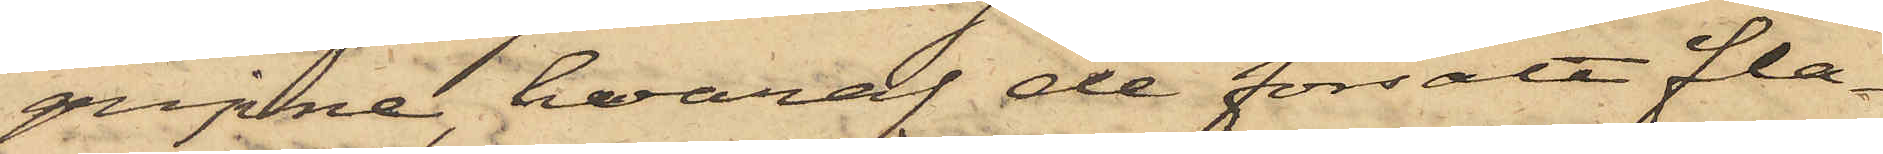gripne, hvaraf de försålt fla¬
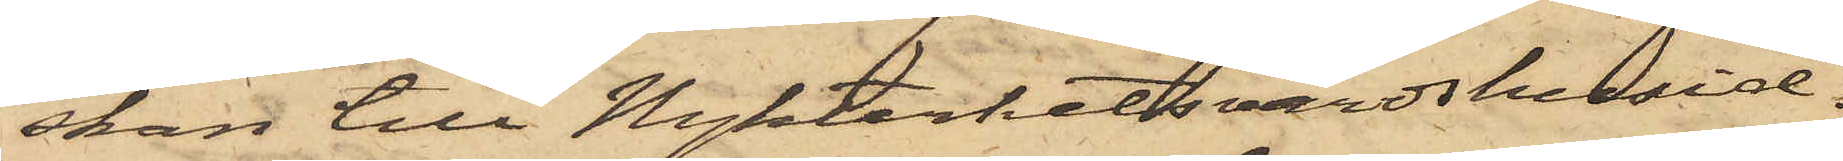skan till Nykterhetsvärdshusid¬
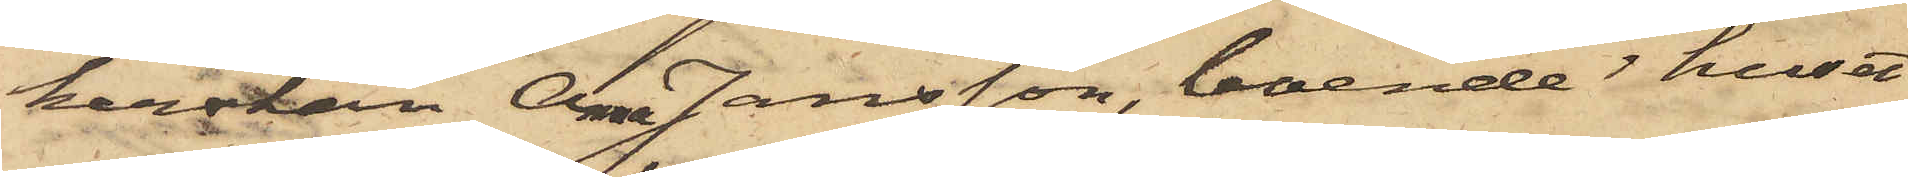kerskan Anna Jansson, boende i huset
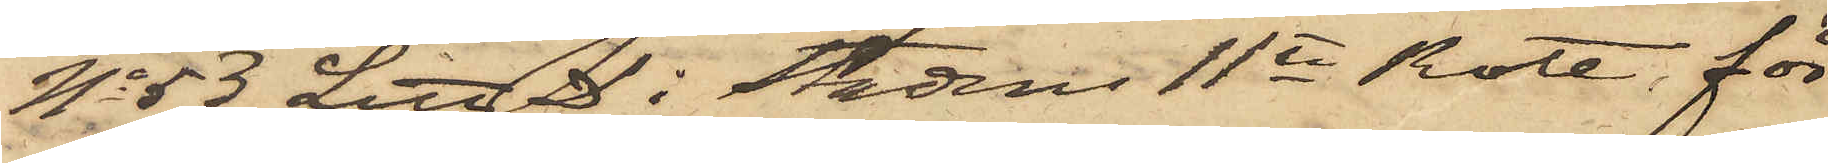No 53 Litt D i Stadens 11te Rote för
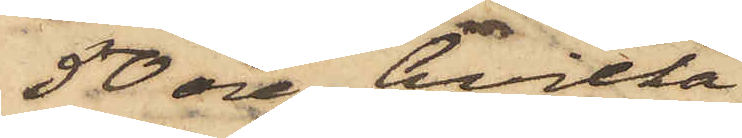50 öre, hvilka
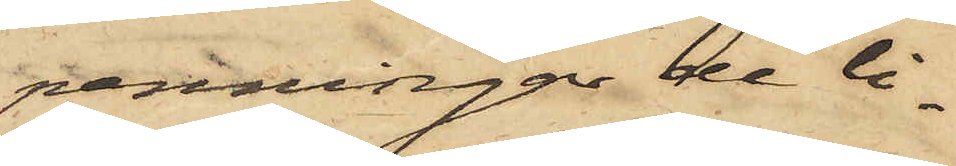penningar de li¬
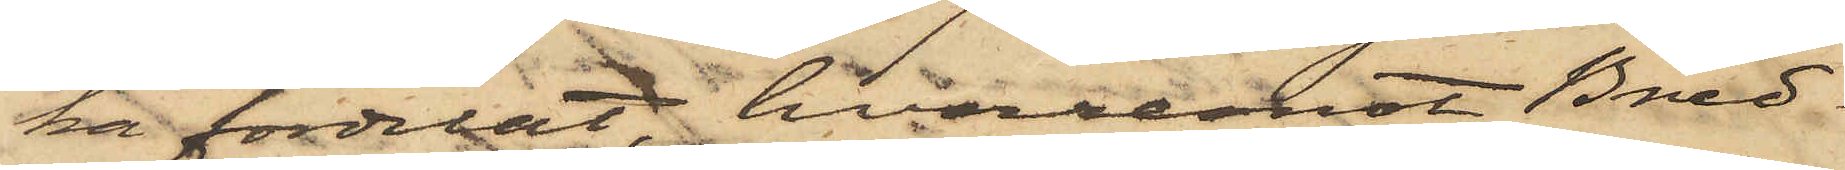ka fördelat, hvaremot Bred¬
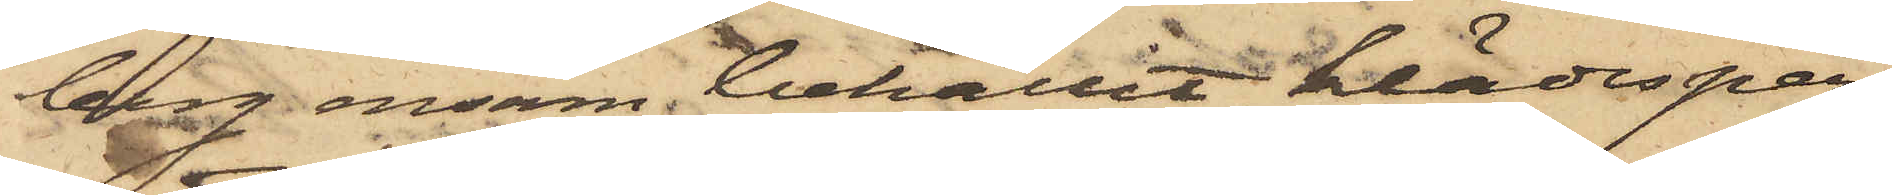berg ensam behållit klädesper¬
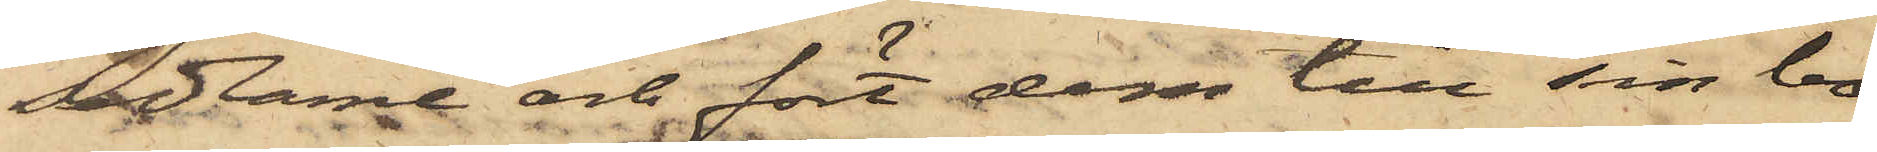sedlarne och fört dem till sin bo¬
